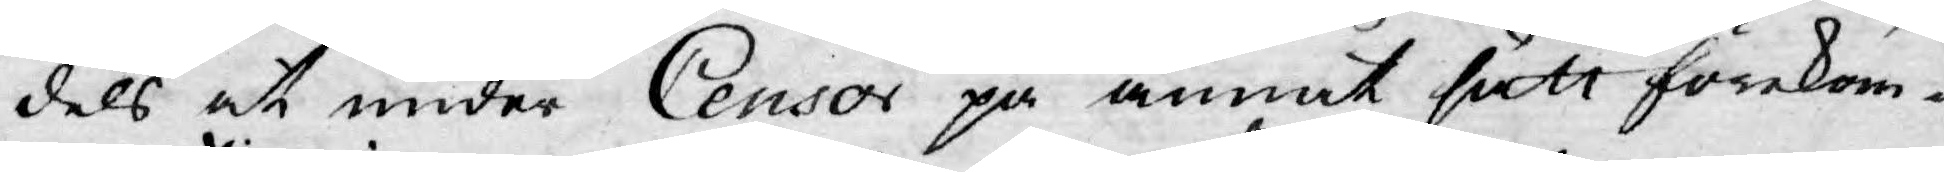dels at under Censor på annat sätt förekom-
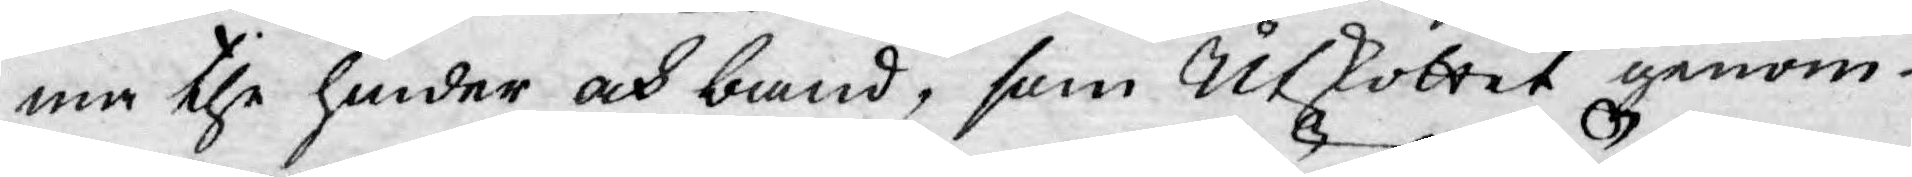ma the hinder och band, som Utkottet genom
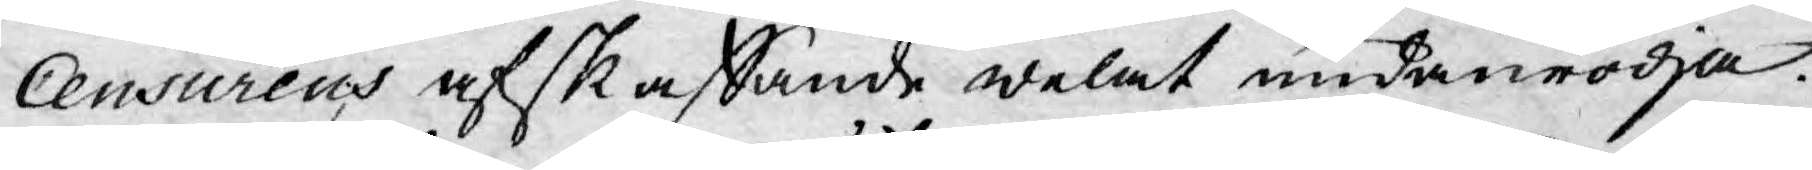Censurens afskaffande welat undanrödja.
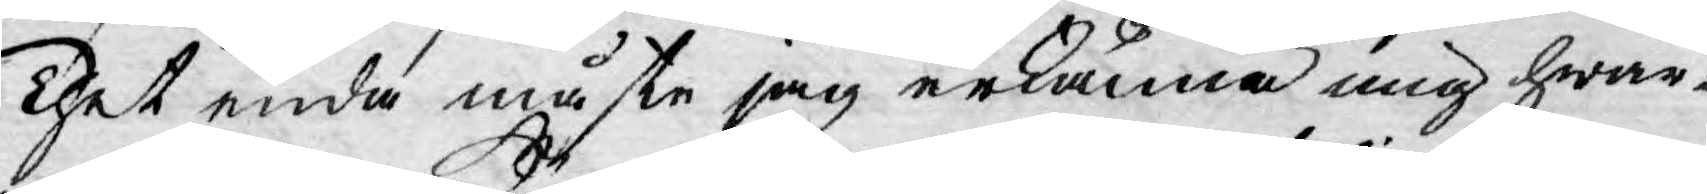Thet enda måste jag erkänna mig hwar¬
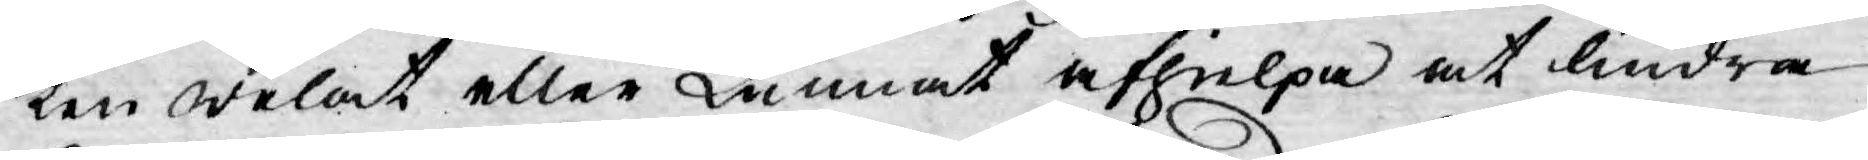ken welat eller kunnat afhelpa at lindra
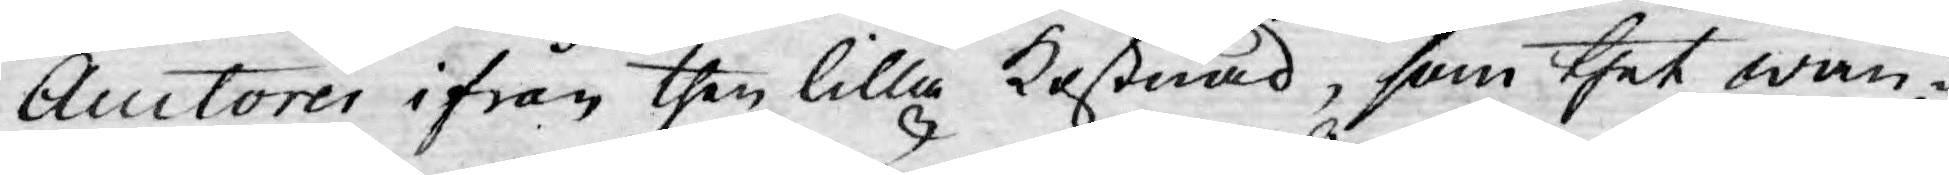Auctorer ifrån then lilla kostnad, som thet wan¬
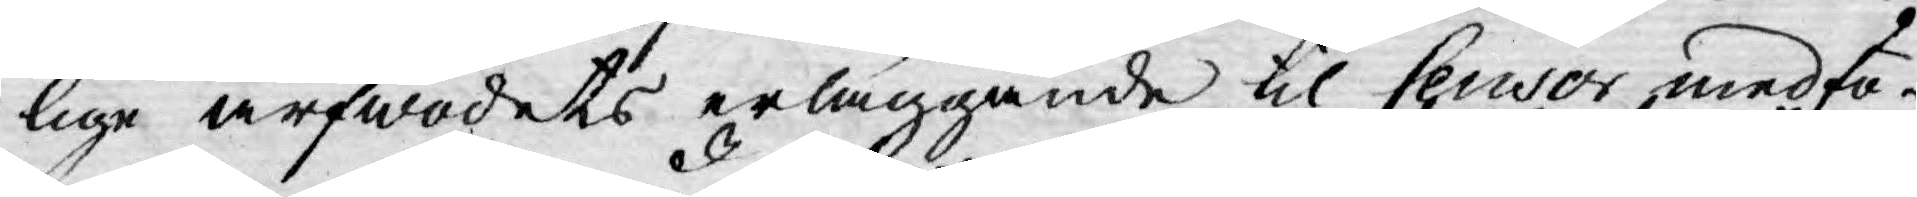lige arfwodets erläggande til Censor medfö¬
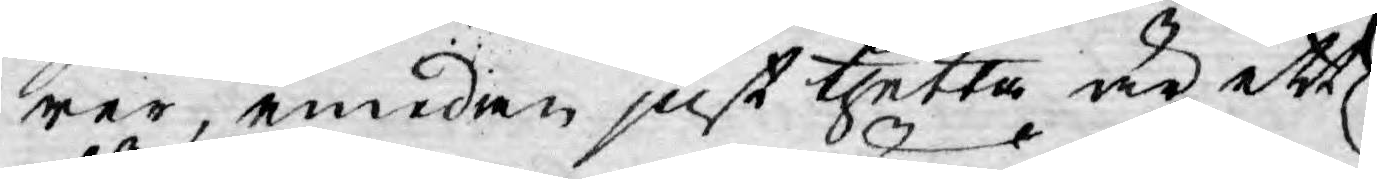rer, emedan just thetta är ett
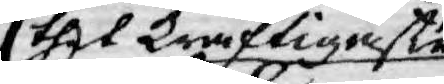thet kraftigaste
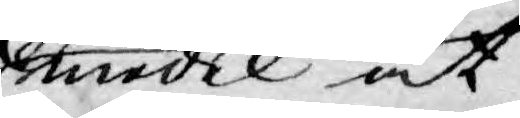medel at
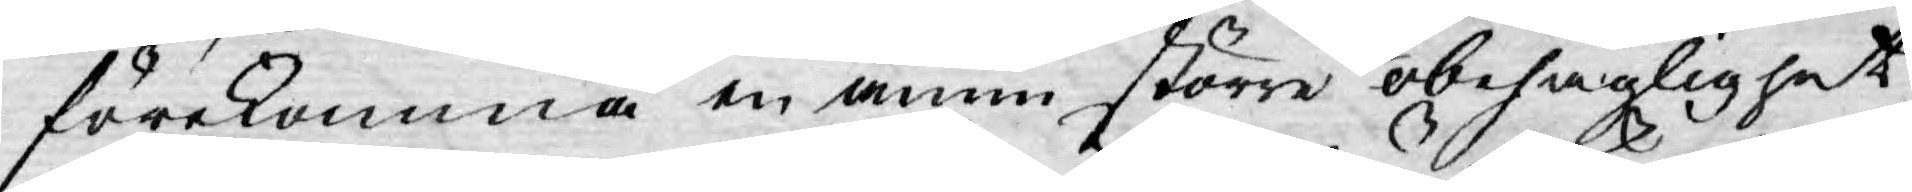förekomma en ännu större obehaglighet
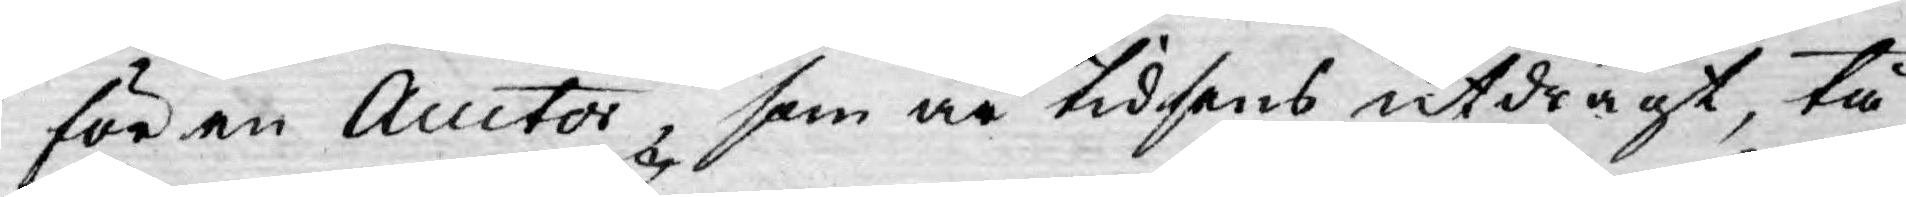för en Auctor, som är tidsens utdrägt, tå
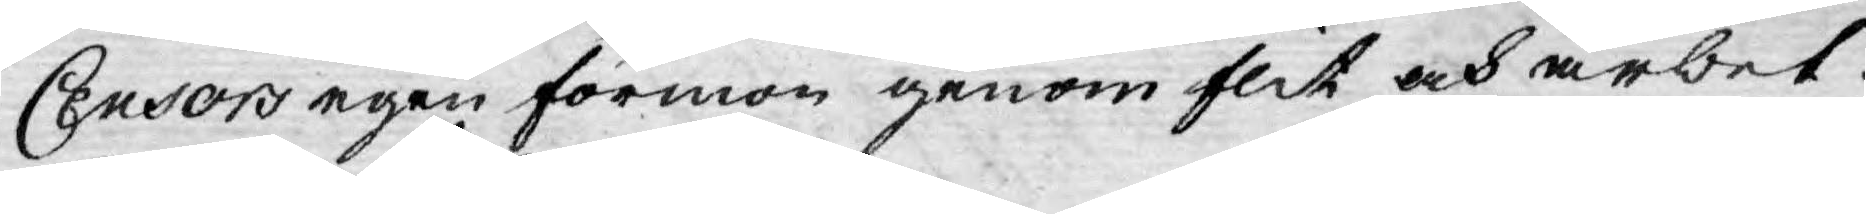Censors egen förmon genom flit och arbet¬
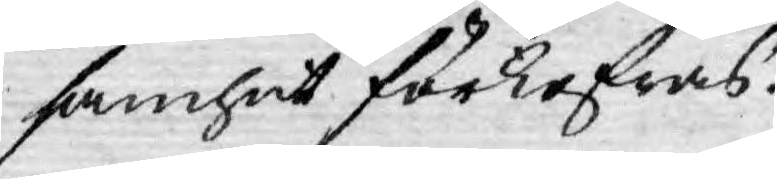samhet förkofras.
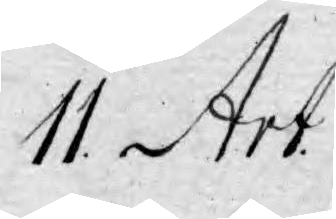11. Art:
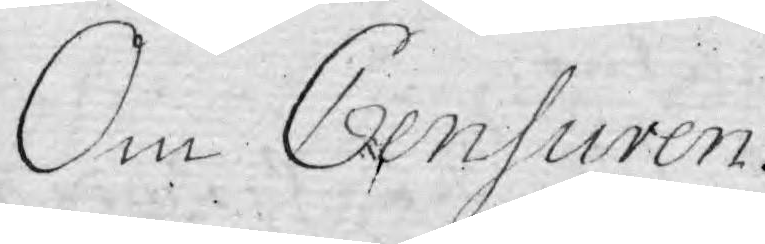Om Censuren
